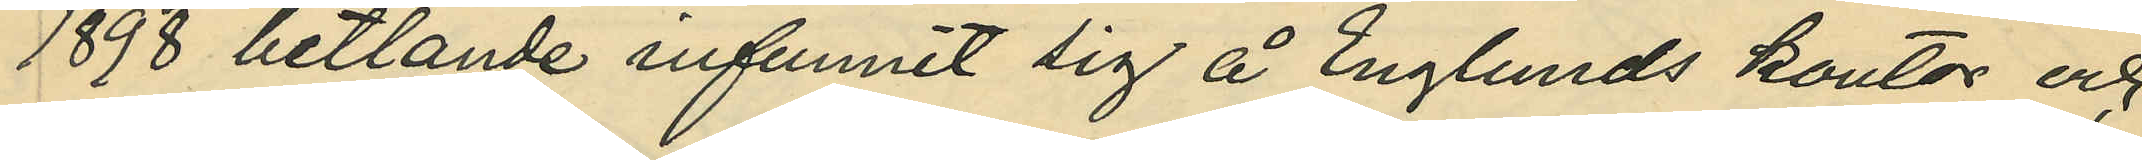1898 betlande infunnit sig å Englunds kontor och
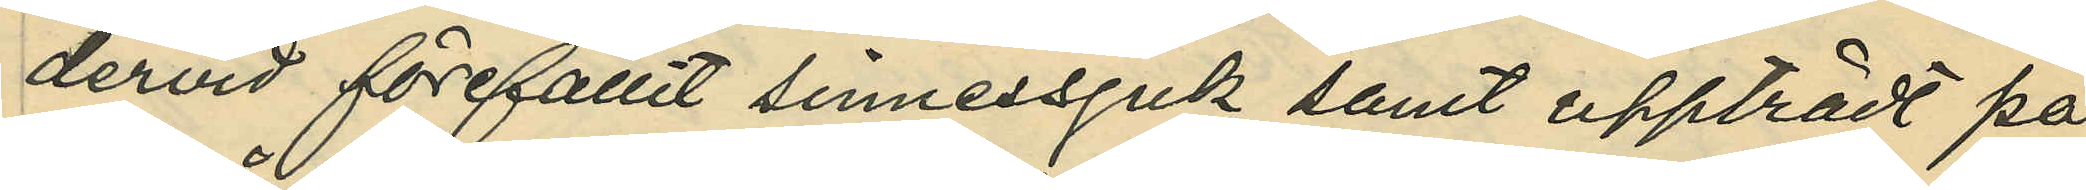dervid förefallit sinnessjuk samt uppträdt på
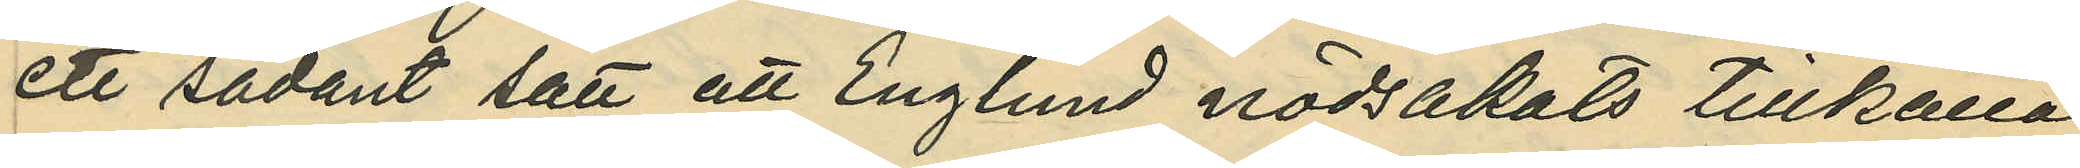ett sådant sätt att Englund nödsakats tillkalla
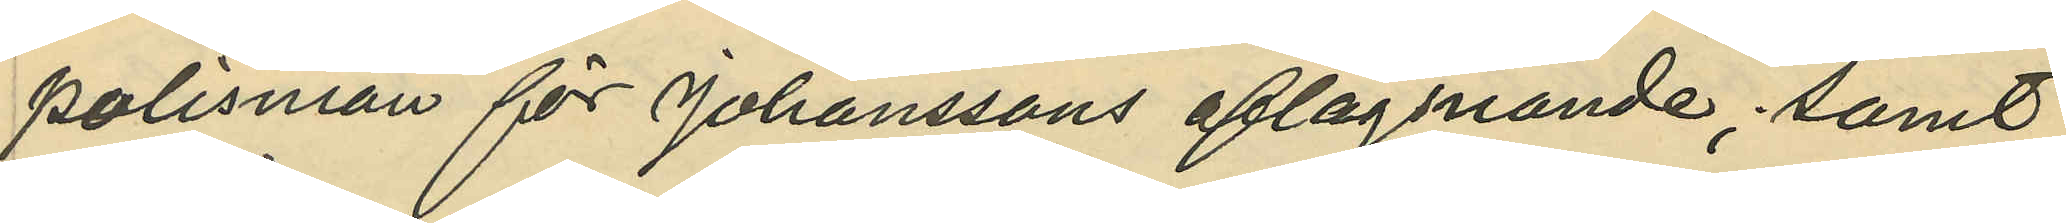polisman för Johanssons aflägsnande; samt
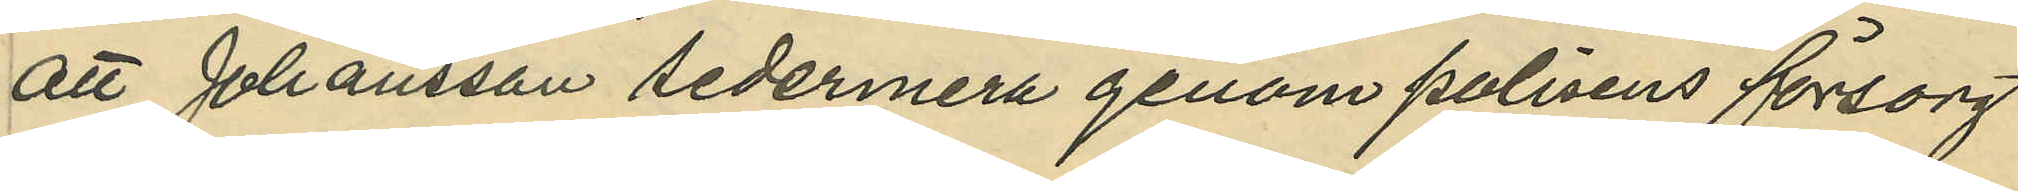att Johansson sedermera genom polisens försorg
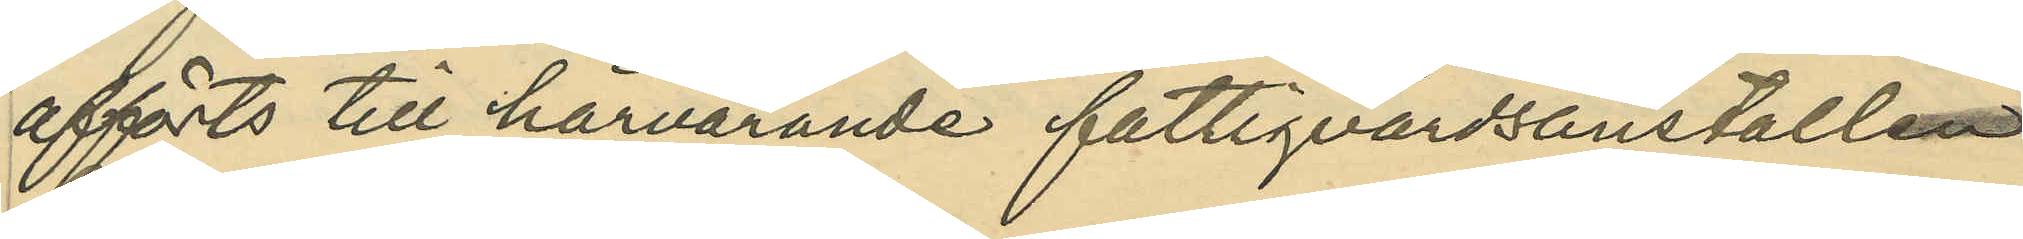afförts till härvarande fattigvårdsanstalten
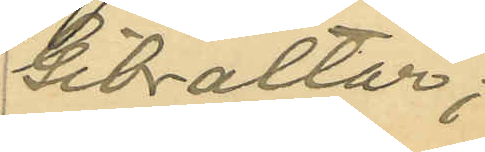Gibraltar;
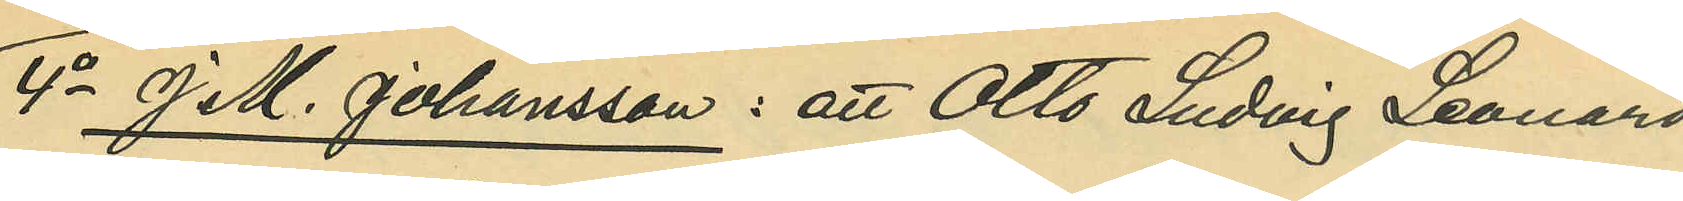4o J. M. Johansson: att Otto Ludvig Leonard
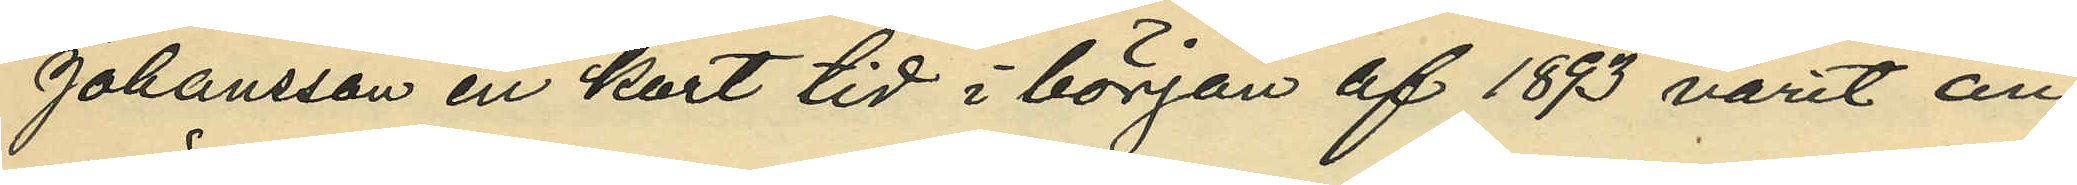Johansson en kort tid i början af 1893 varit an¬
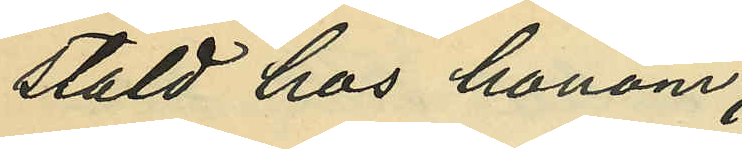stäld hos honom;
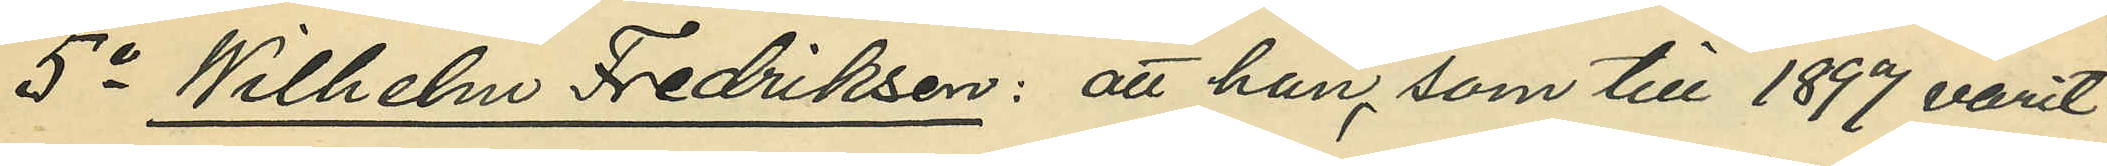5o Wilhelm Fredriksen: att han, som till 1897 varit
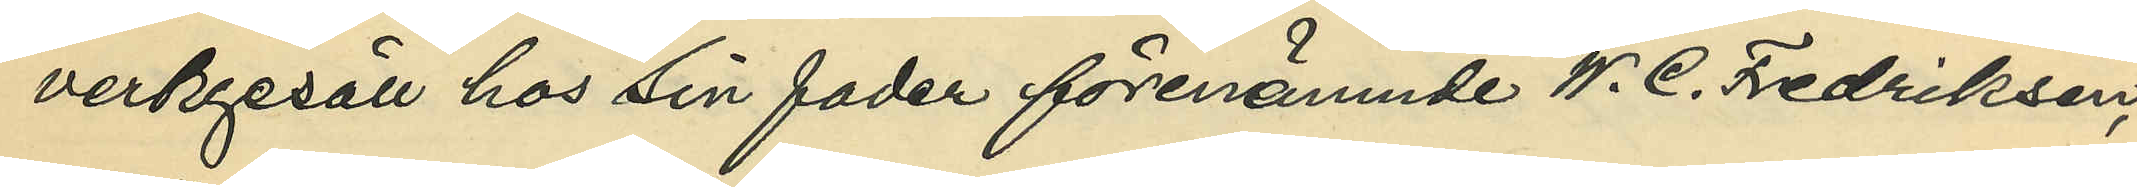verkgesäll hos sin fader förenämnde W. C. Fredriksen,
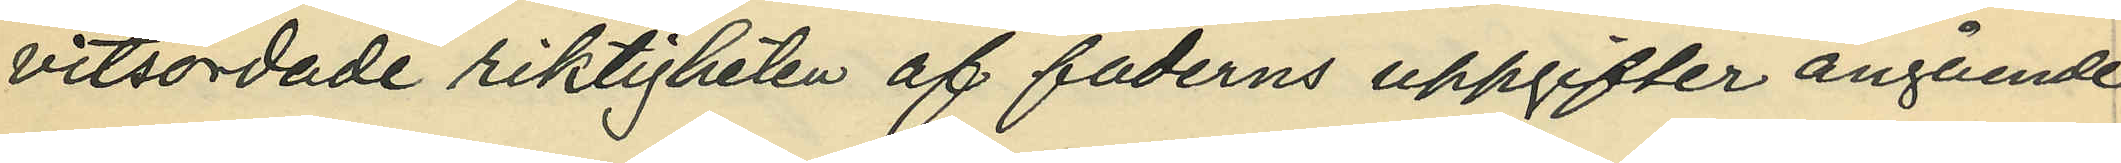vitsordade riktigheten af faderns uppgifter angående
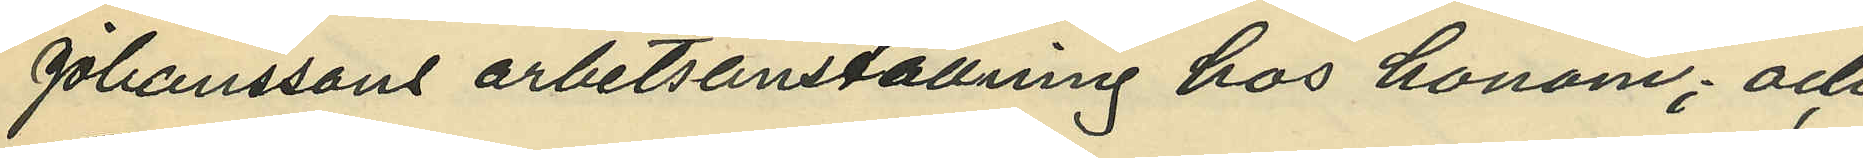Johanssons arbetsanställning hos honom; och
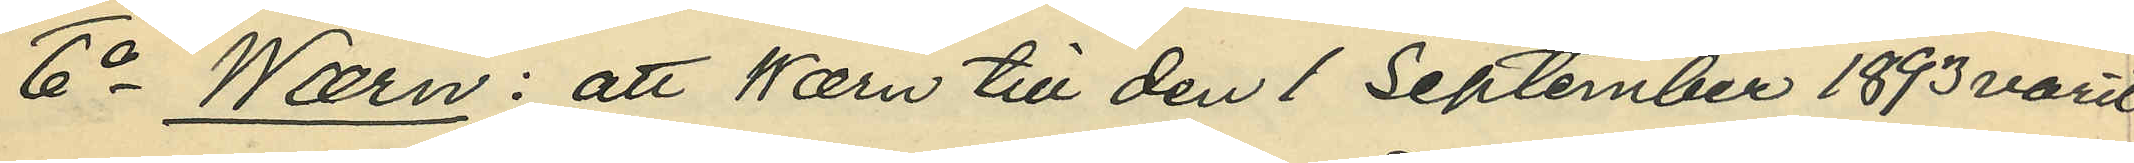6o Wærn: att Wærn till den 1 September 1893 varit
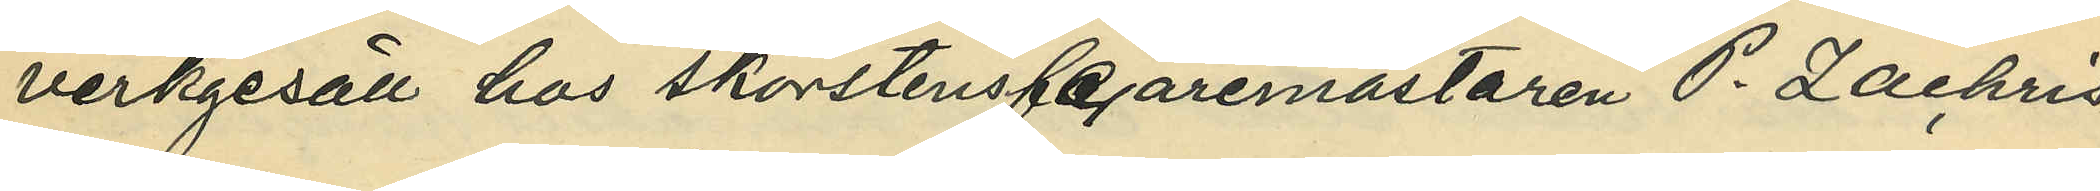verkgesäll hos skorstensfejaremästaren P. Zachris¬
